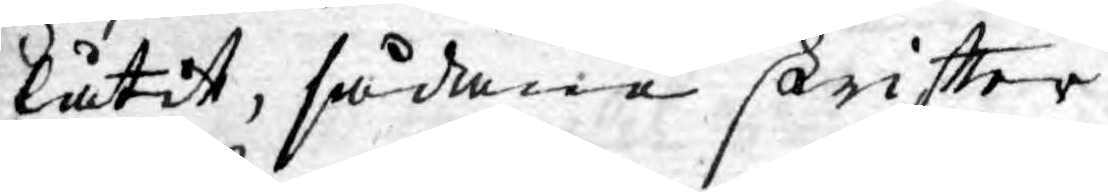låtit, sådane skriftter
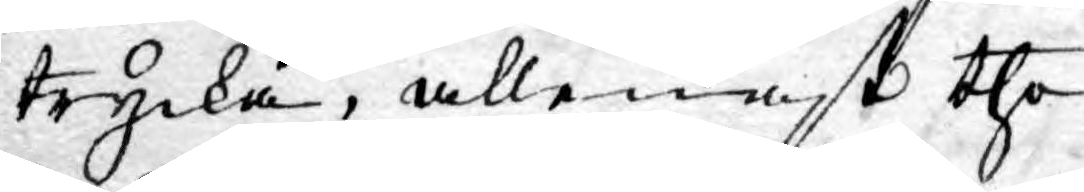trycka, allenast the
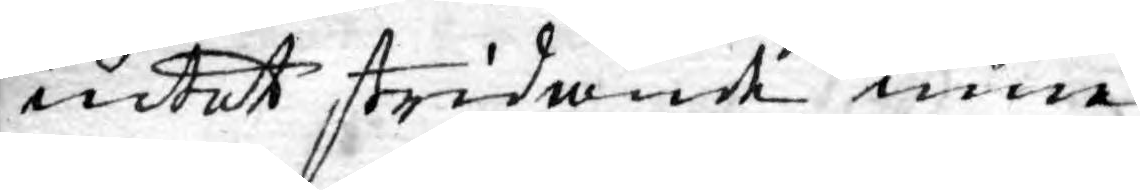intet stridande inne¬
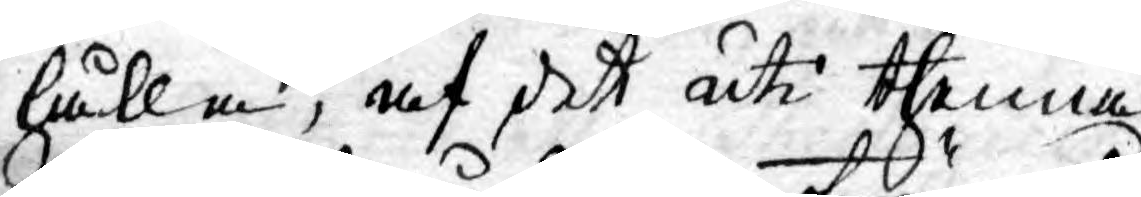hålla, af det uti thenna
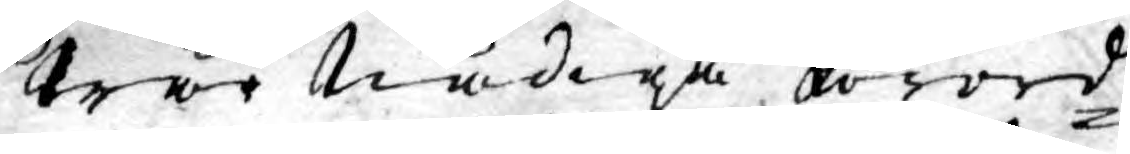Wår Nådiga förord¬
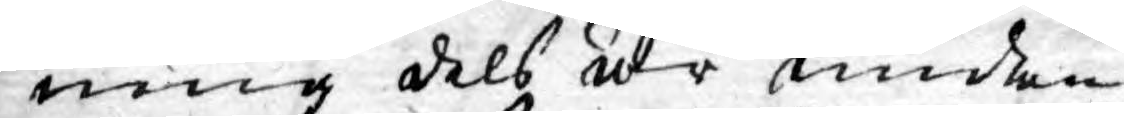ning dels är unden¬
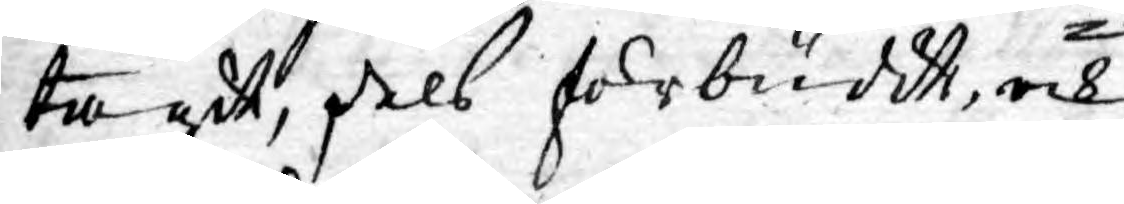tagit, dels förbudit, och
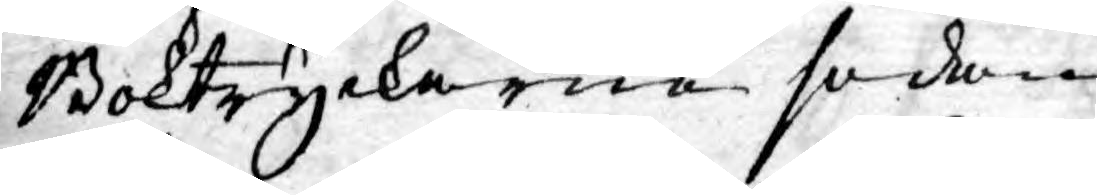Boktryckerne sedan
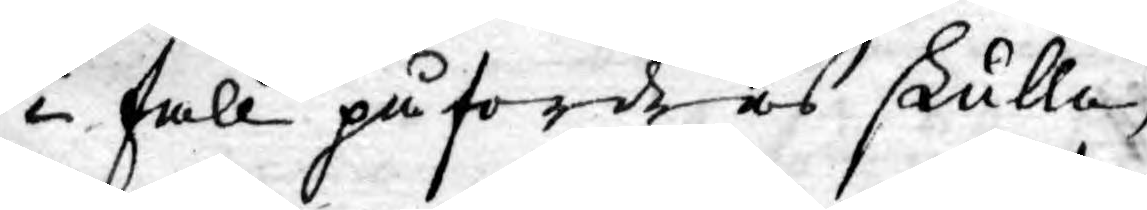i fall påfordras skulle,
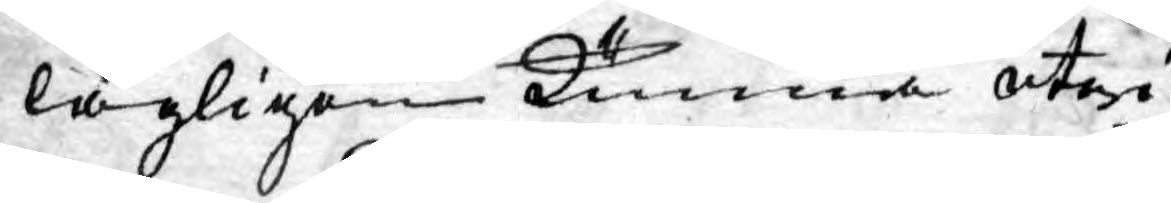lagligen kunna utwi¬
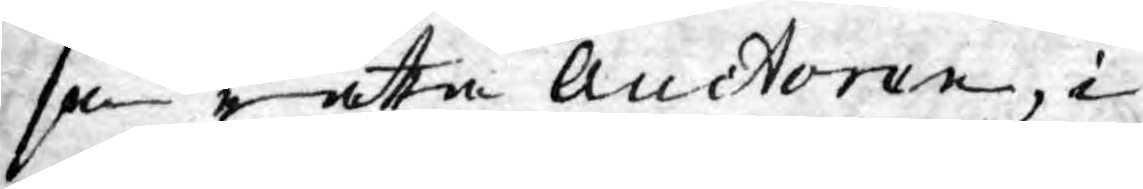sa rätta Auctoren, i
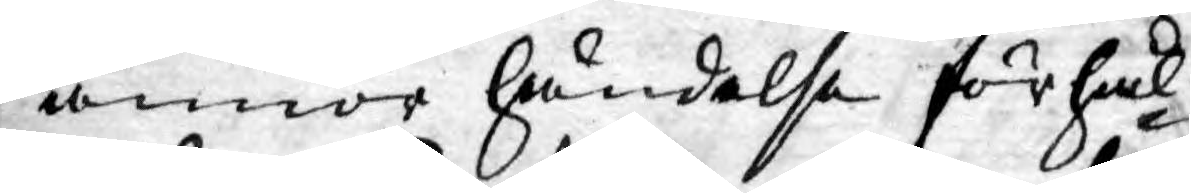annor händelse förhål¬
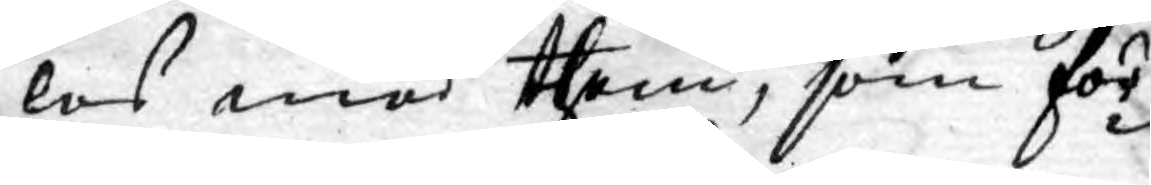les med them, som för¬
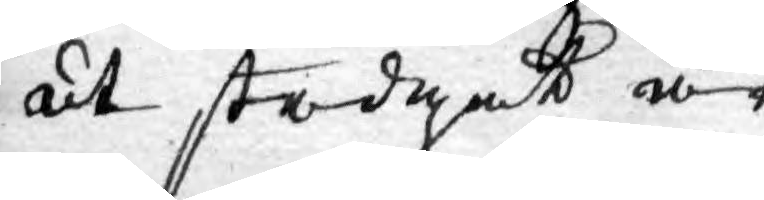ut stadgat är.
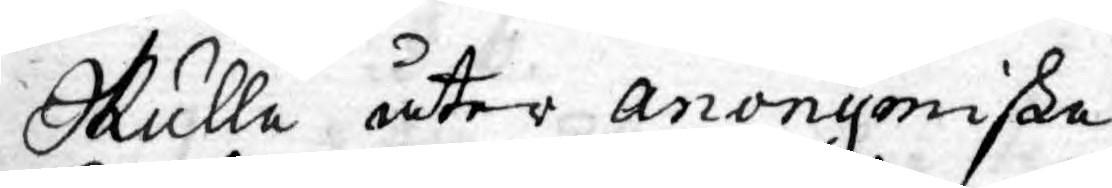Skulle åter anonymiske
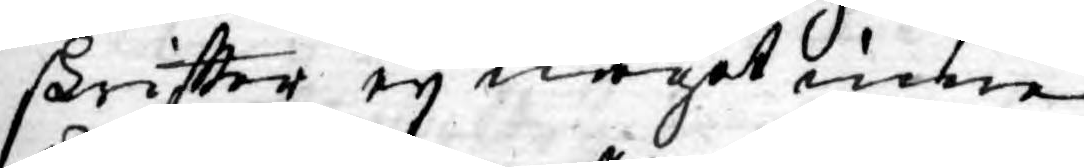skriftter ey något inne¬
